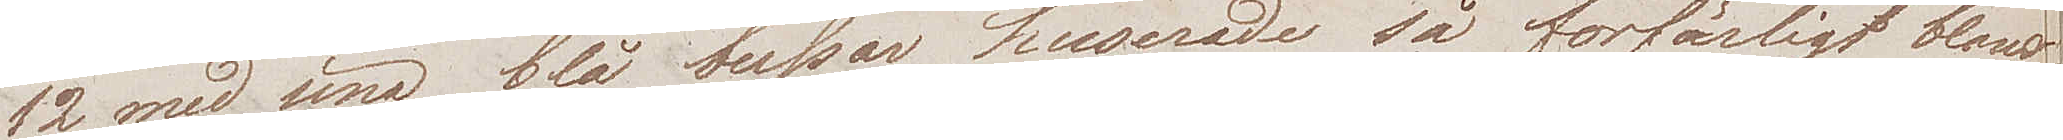12 med sina blå bussar huserade så förfärligt bland
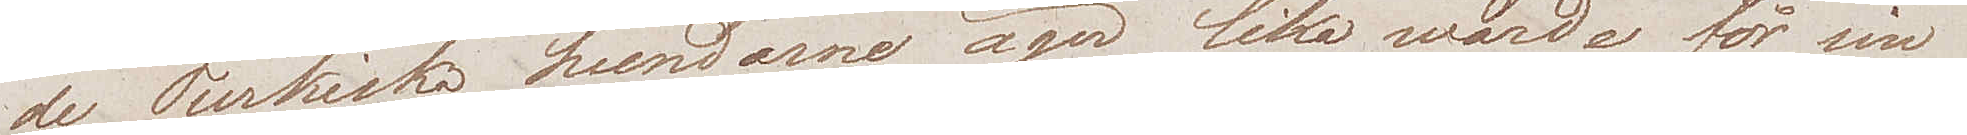de Turkiska hundarne äger lika wärde för sin
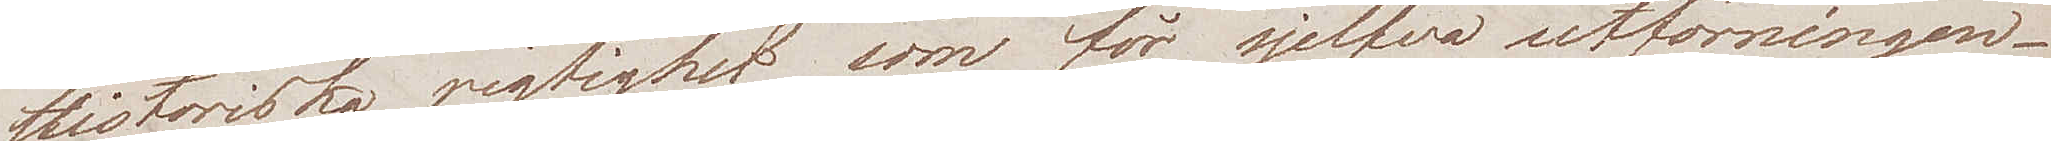historiska rigtighet som för sjelfva utförningen.
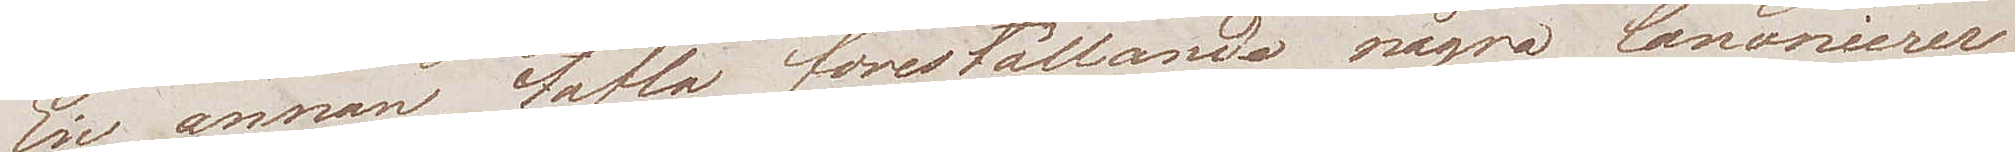En annan tafla föreställande några Canonierer
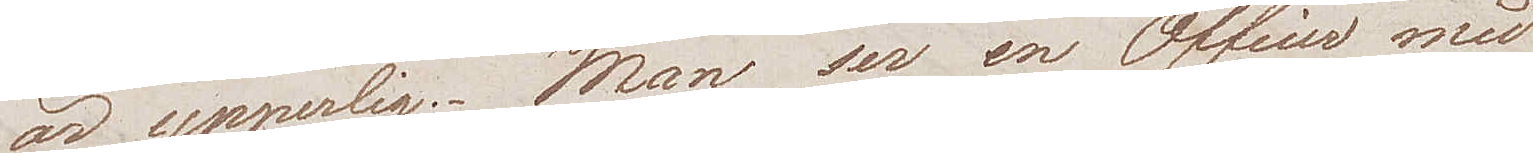är ypperlig. Man ser en Officer med
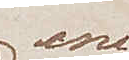ena
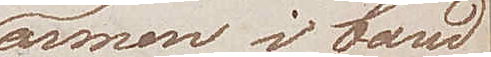armen i band
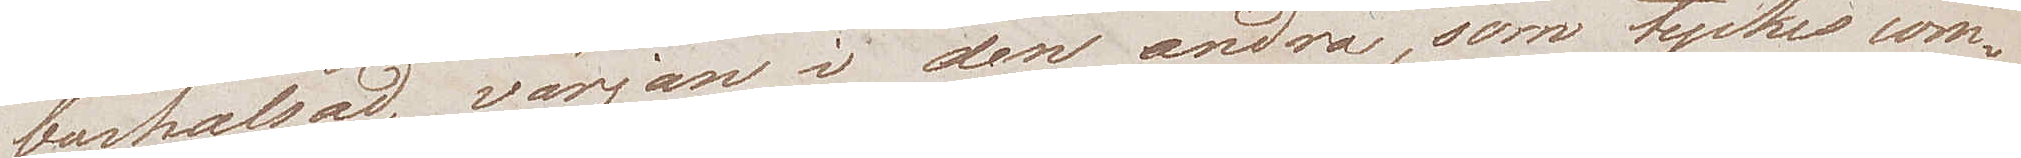barhalsad, värjan i den andra, som tyckes com¬
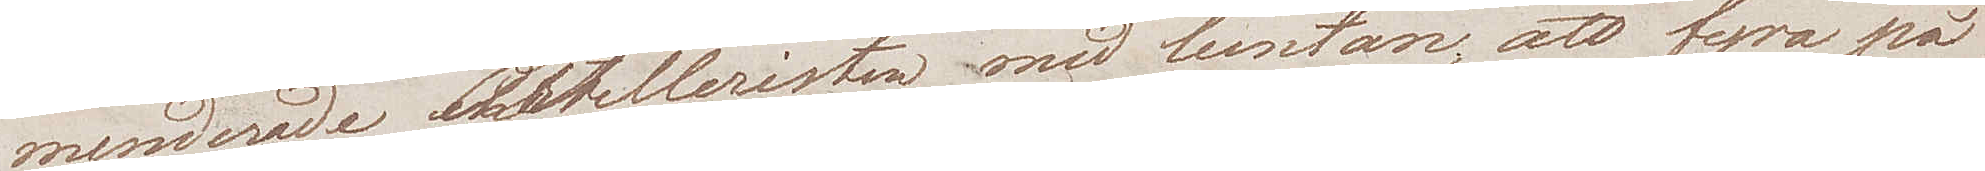menderade artilleristen med luntan, att fyra på
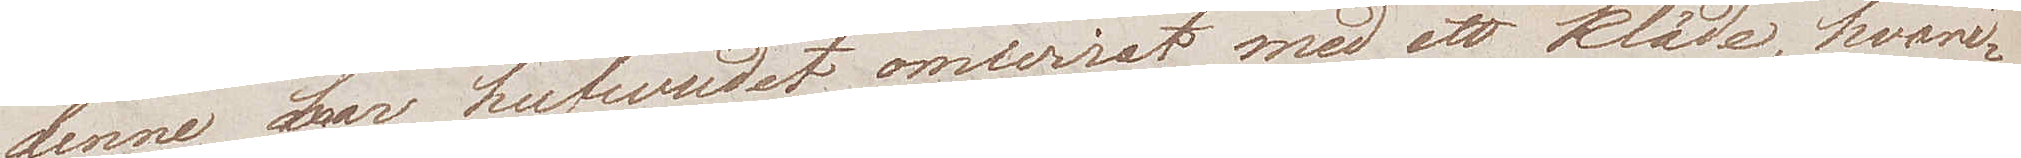denne har hufvudet omvirat med ett kläde, hvari¬
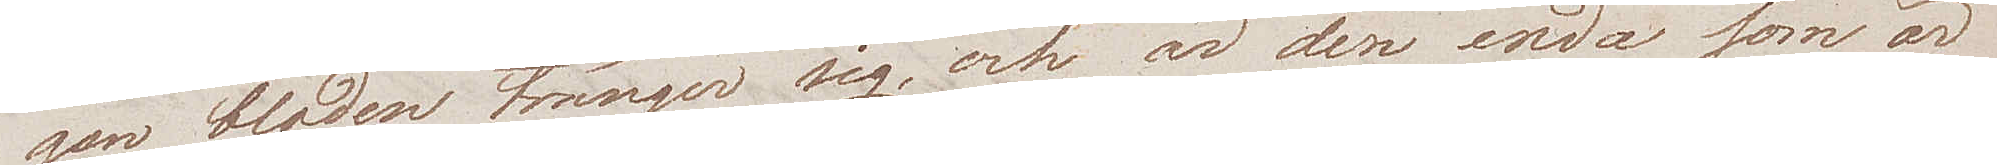gen bloden tränger sig, och är den enda som är
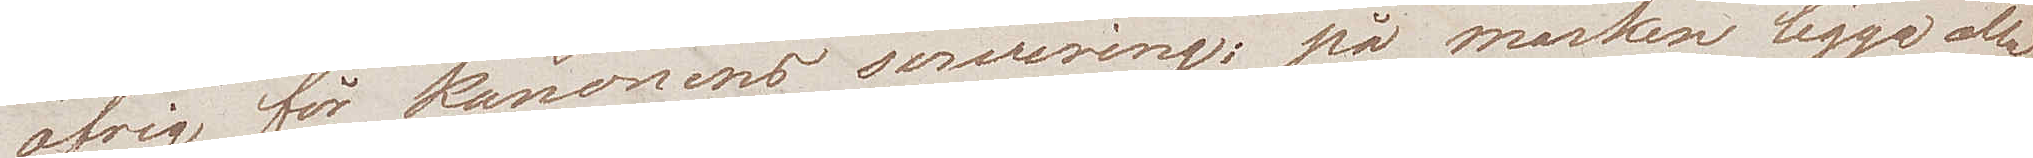öfrig för kanonens servering; på marken ligga alla
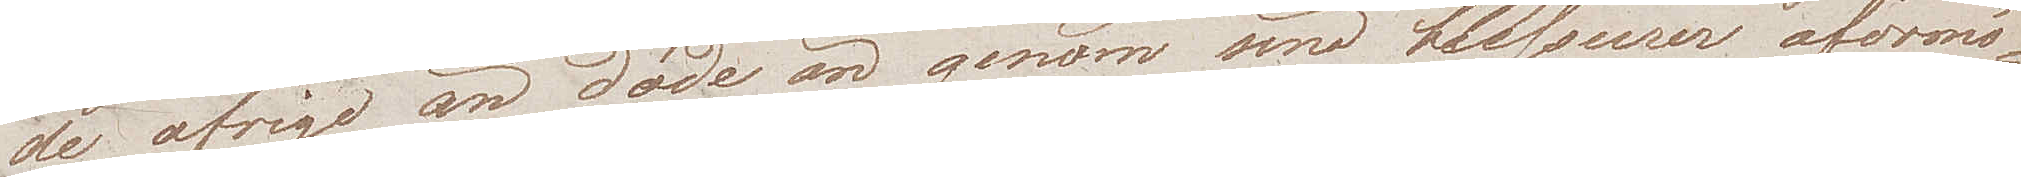de öfriga än döda än genom sina blessurer oförmö¬
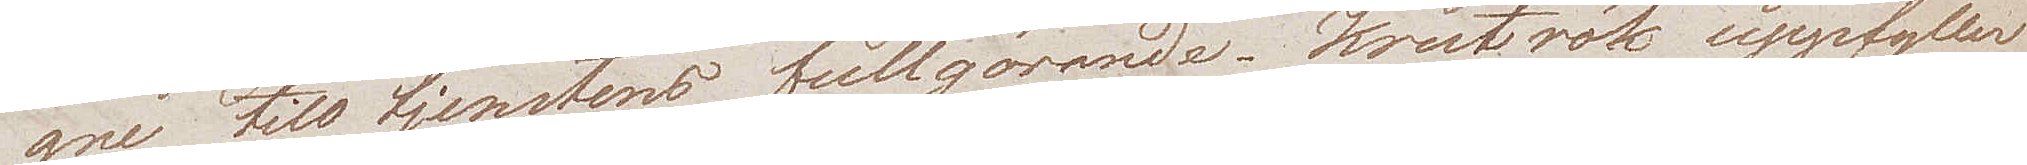gne  till tjenstens fullgörande. Krutrök uppfyller
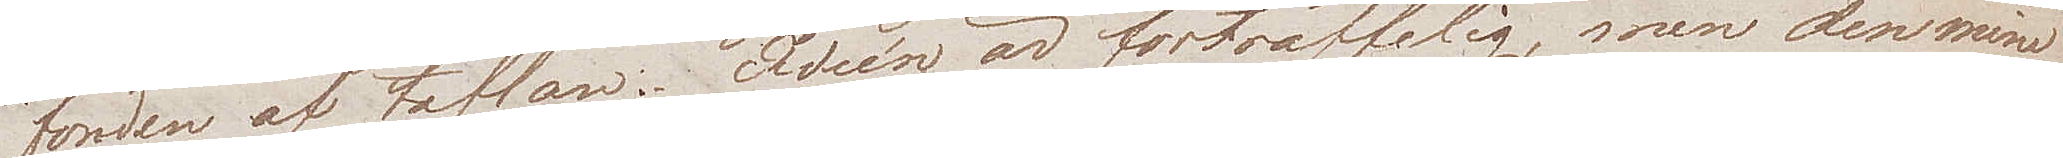fonden av taflan. Idéen är förträffelig, men den mine
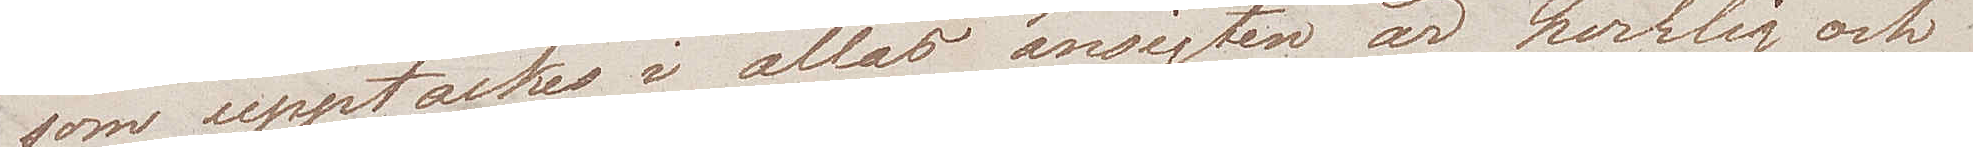som upptäckes i allas ansigten är hverklig och
